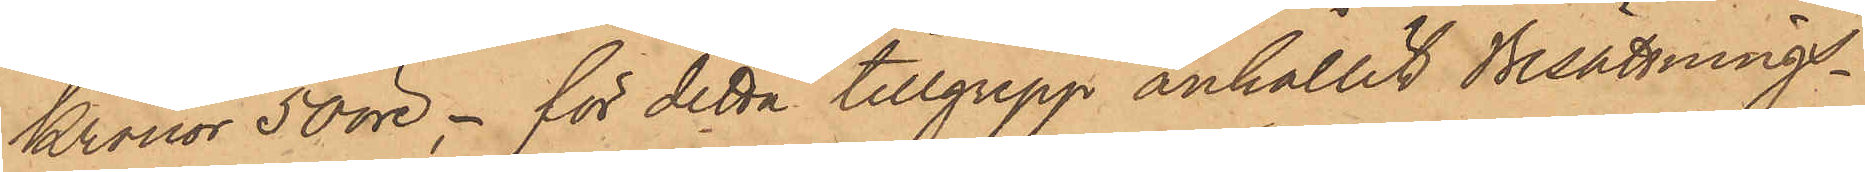Kronor 50 öre, -  för detta tillgrepp anhållit Besättnings¬
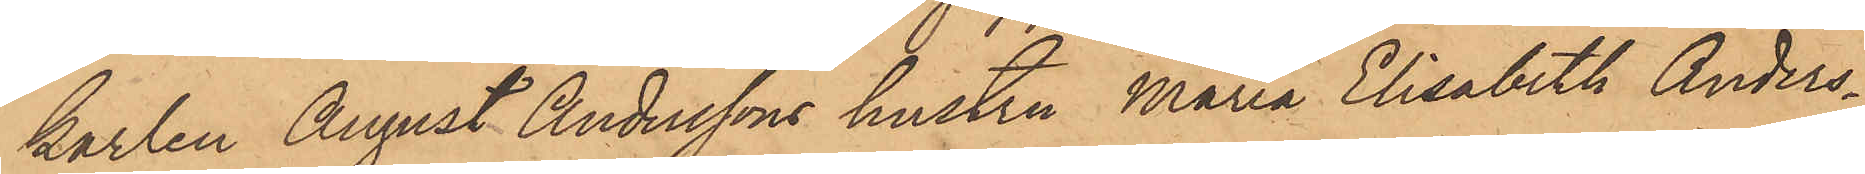karlen August Anderssons hustru Maria Elisabeth Anders¬
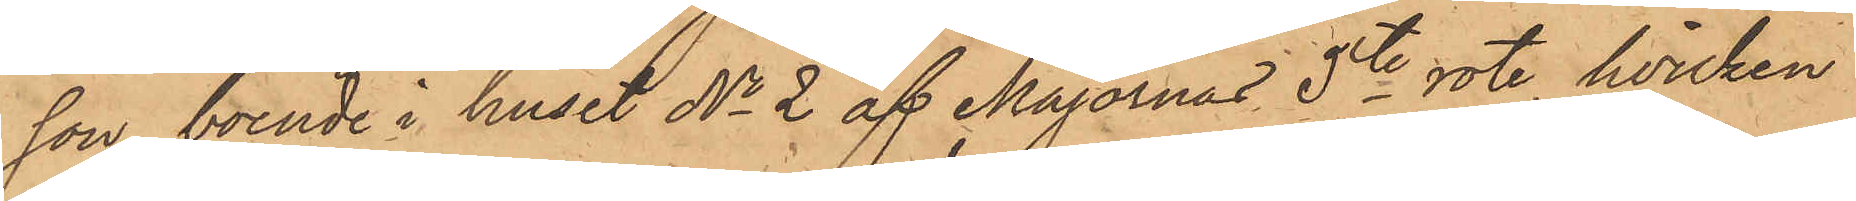son, boende i huset No 2 af Majornas 5te rote, hvilken
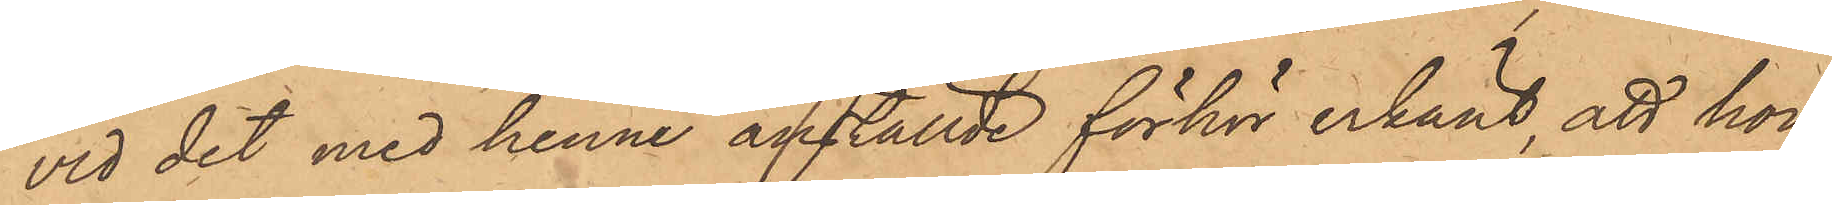vid det med henne anställde förhör erkänt, att hon,
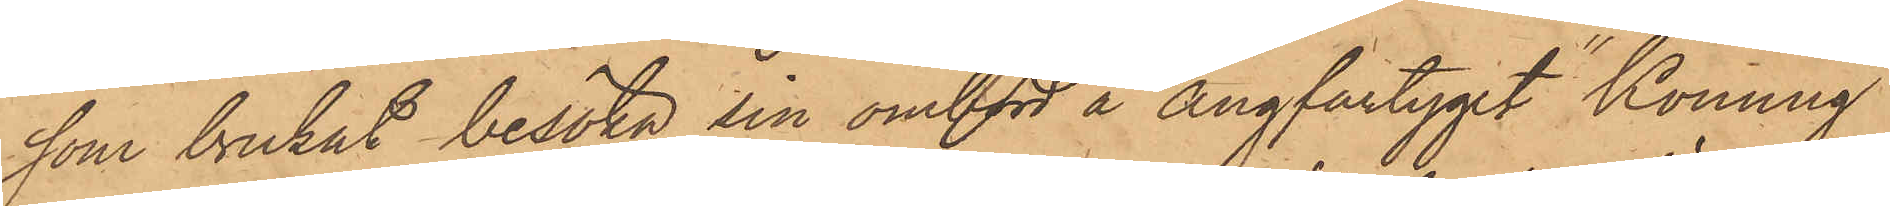som brukat besöka sin ombord å Ångfartyget "Konung
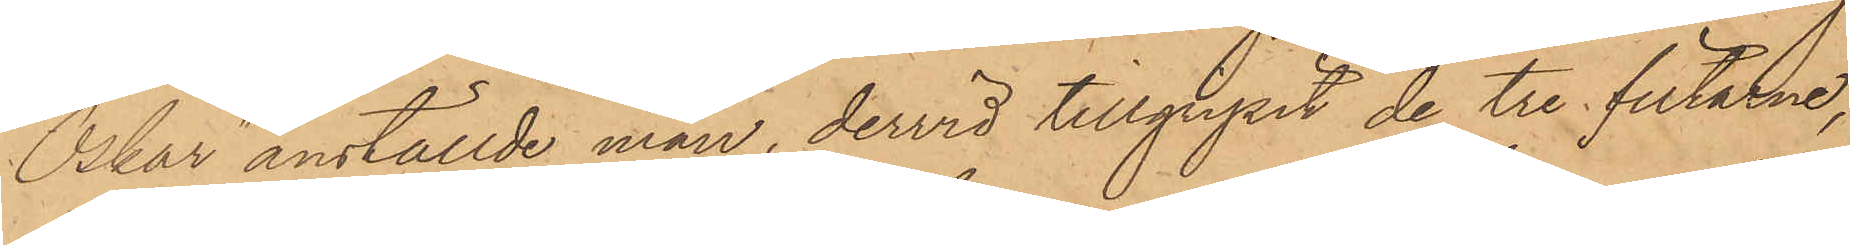Oskar" anställde man, dervid tillgripit de tre filtarne,
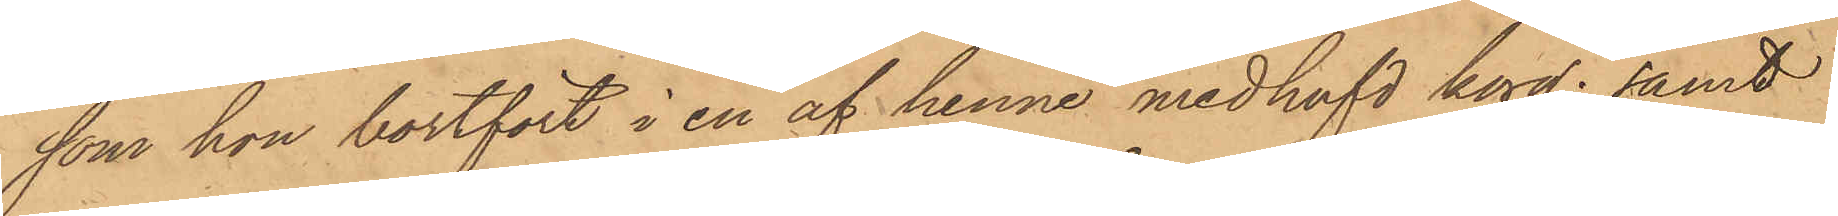som hon bortfört i en af henne medhafd korg; samt
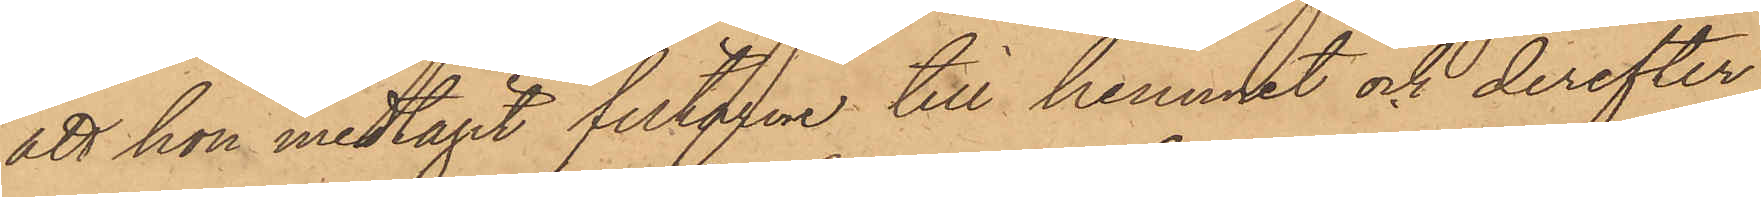att hon medtagit filtarne till hemmet och derefter
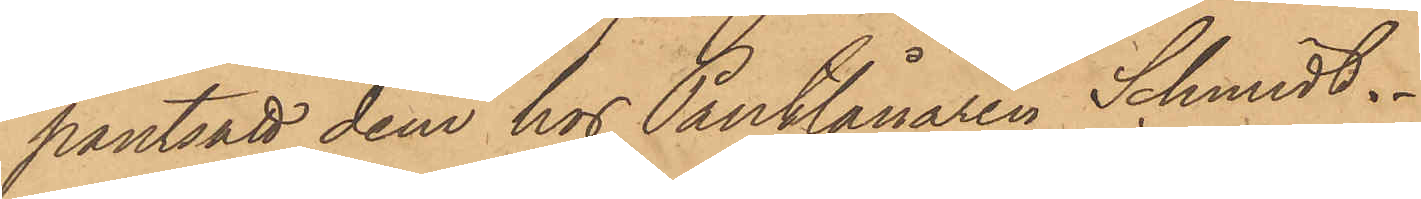pantsatt dem hos Pantlånaren Schmidt.
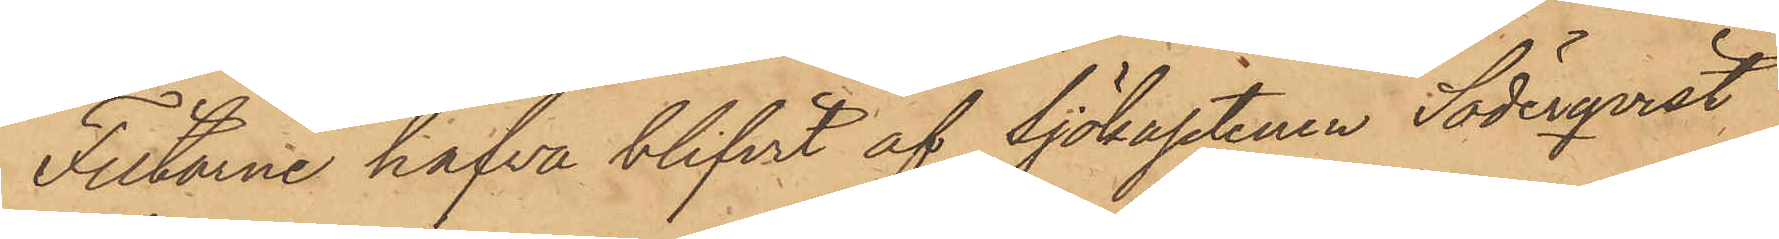Filtarne hafva blifvit af Sjökaptenen Söderqvist,
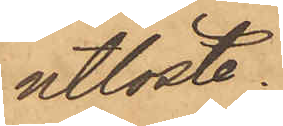utlöste.
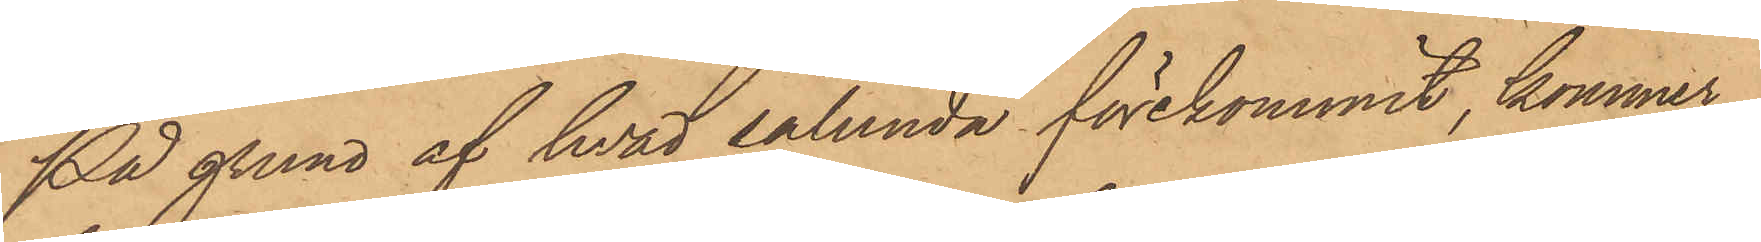På grund af hvad sålunda förekommit, kommer
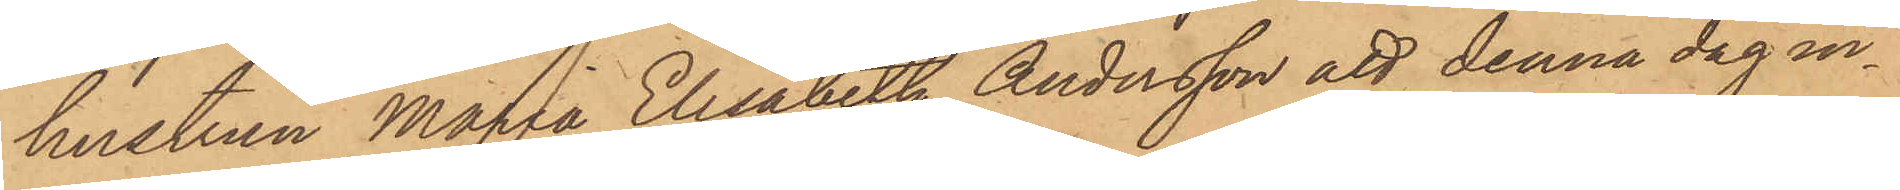hustrun Maria Elisabeth Andersson att denna dag in¬
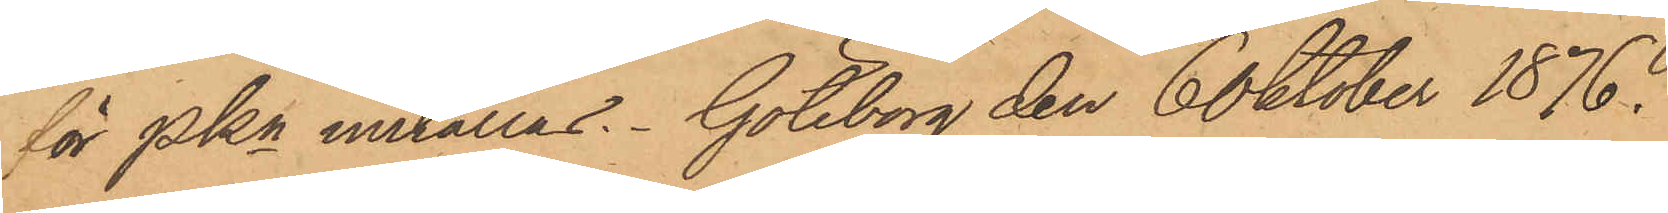för PKn inställas. Göteborg den 6 Oktober 1876.
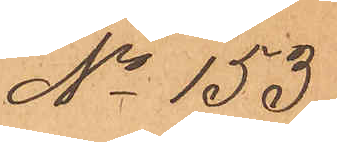No 153
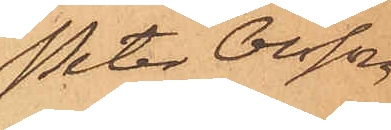Peter Olsson
